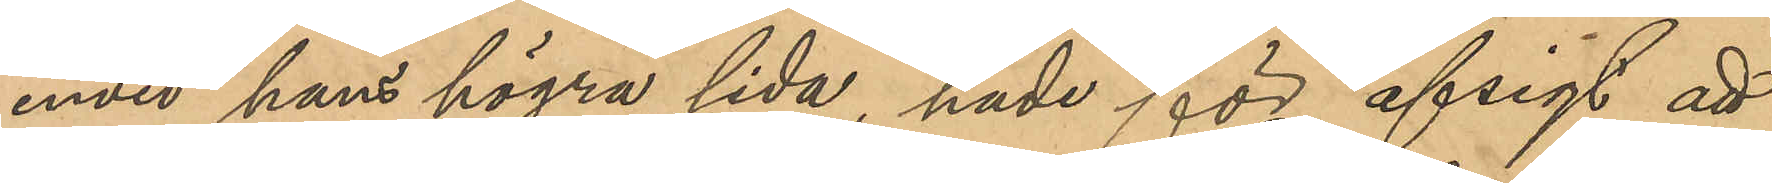invid hans högra sida, hade för afsigt att
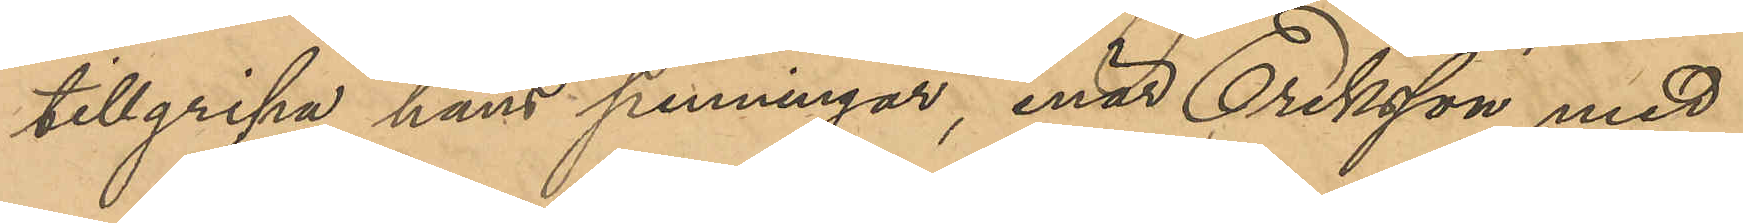tillgripa hans penningar, enär Eriksson med
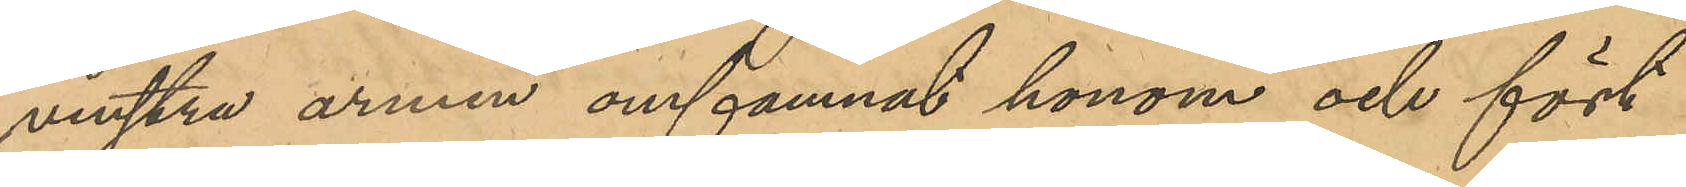venstra armen omfamnat honom och fört
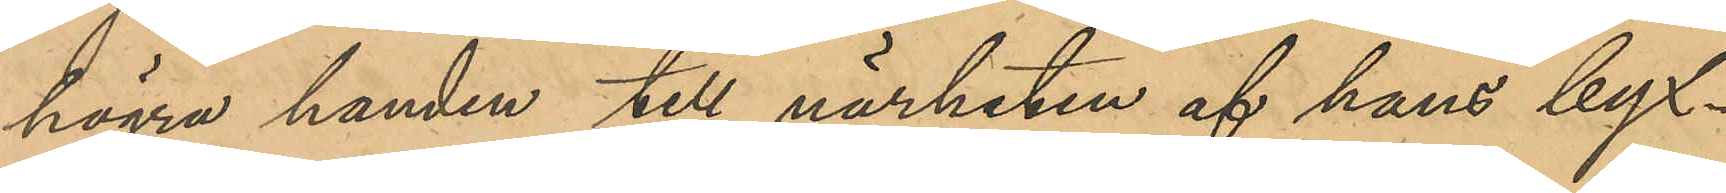högra handen till närheten af hans byx¬
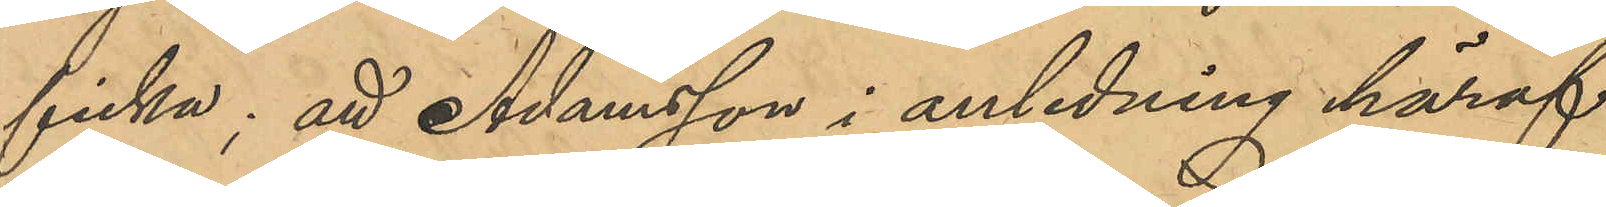ficka; att Adamsson i anledning häraf
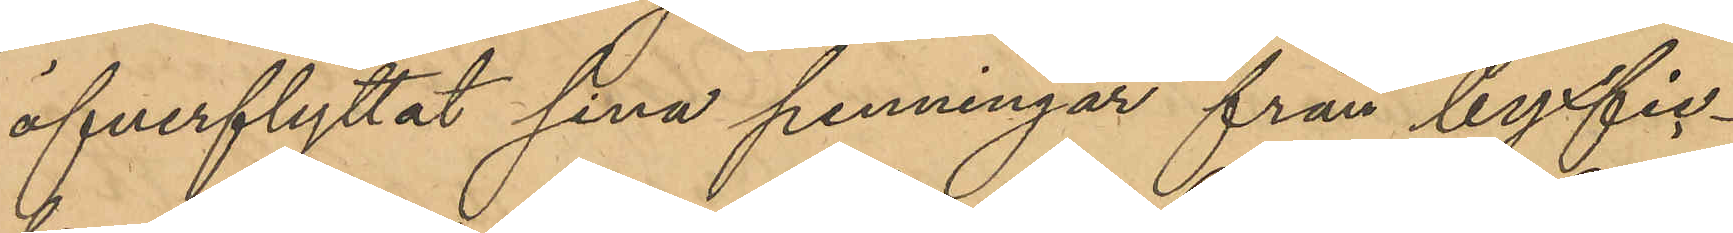öfverflyttat sina penningar från byxfic¬
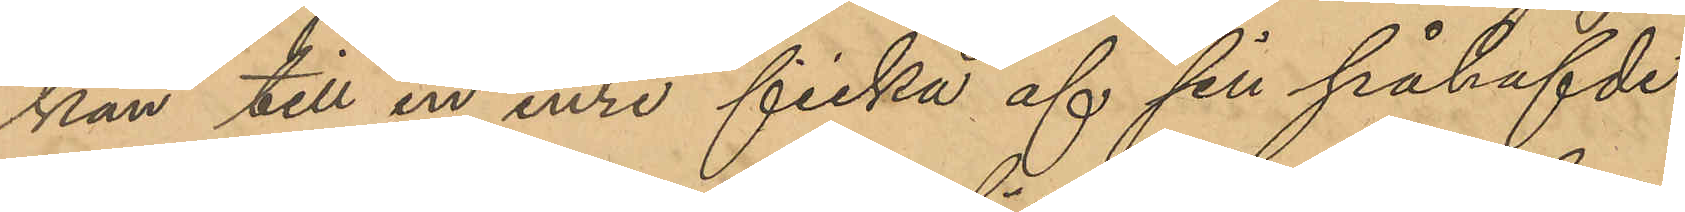kan till en inre ficka af sin påhafde
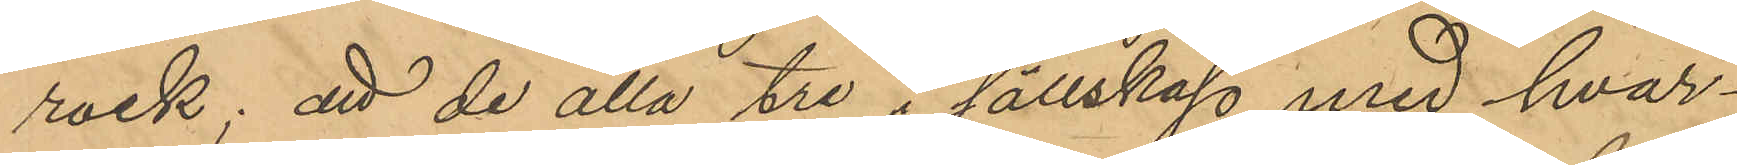rock; att de alla tre i sällskap med hvar¬
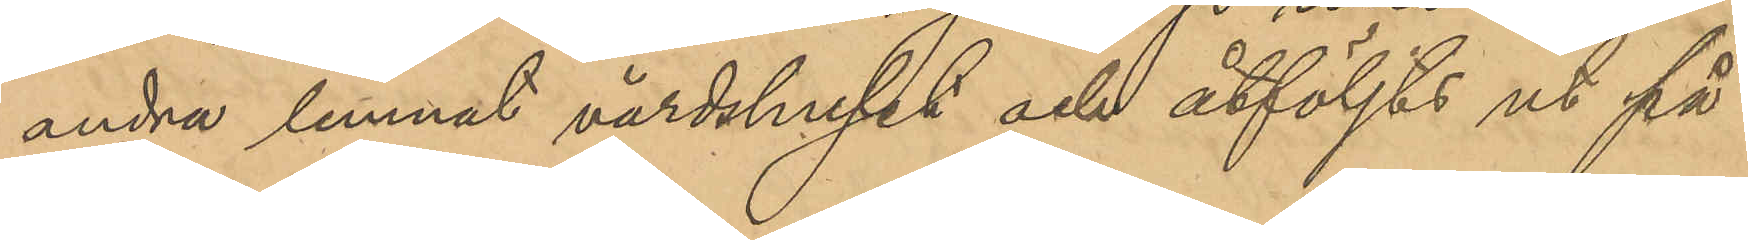andra lemnat värdshuset och åtföljts ut på
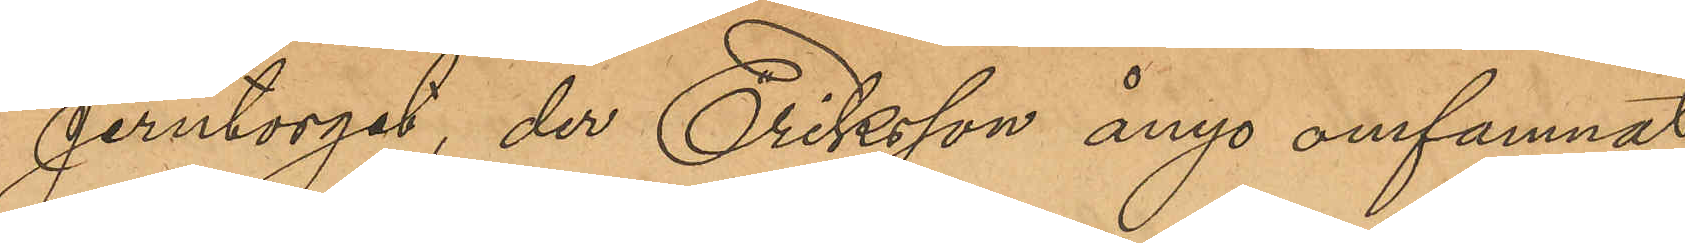Jerntorget, der Eriksson ånyo omfamnat
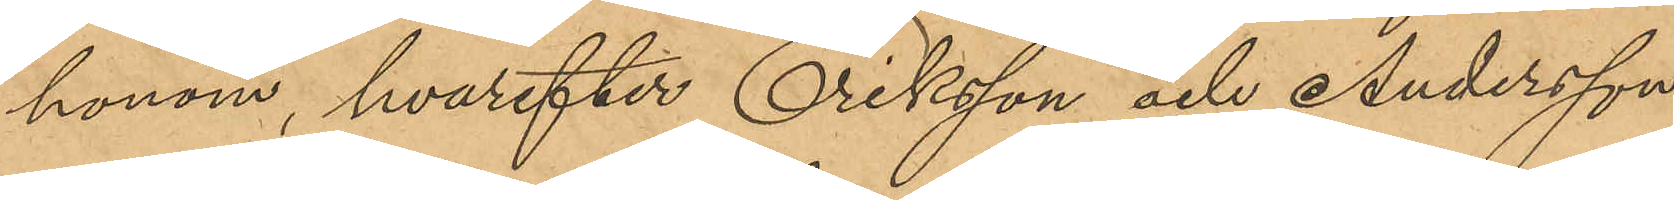honom hvarefter Eriksson och Andersson
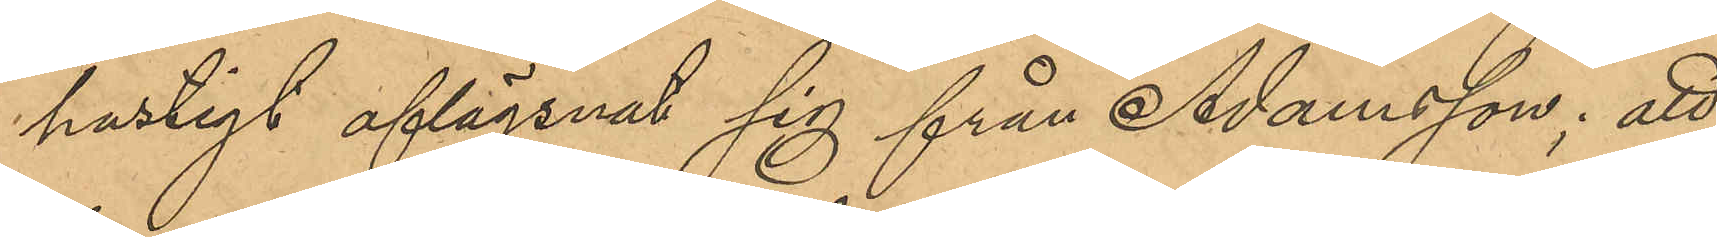hastigt aflägsnat sig från Adamsson; att
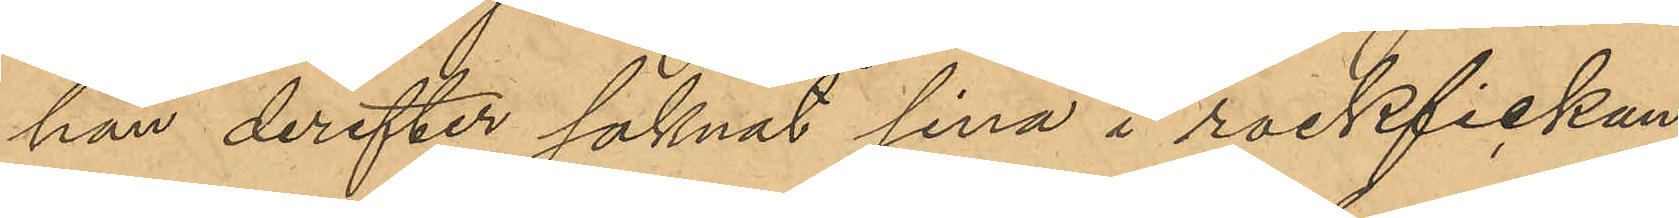han derefter saknat sina i rockfickan
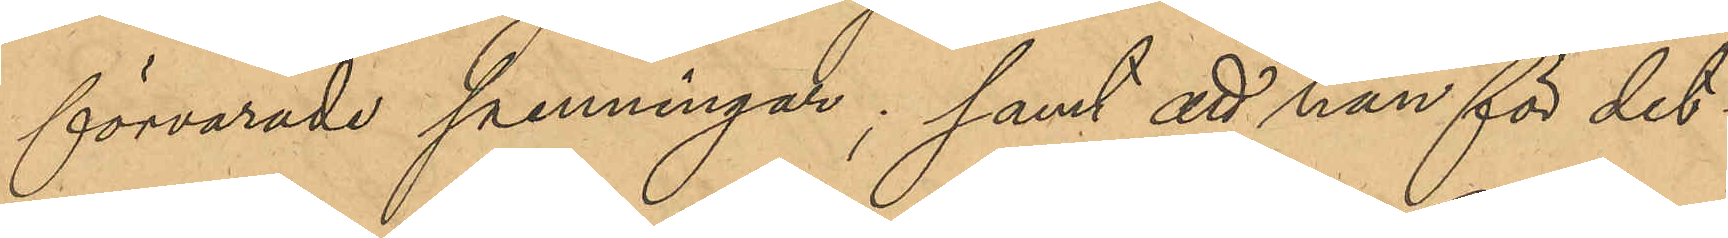förvarade penningar; samt att han för det¬
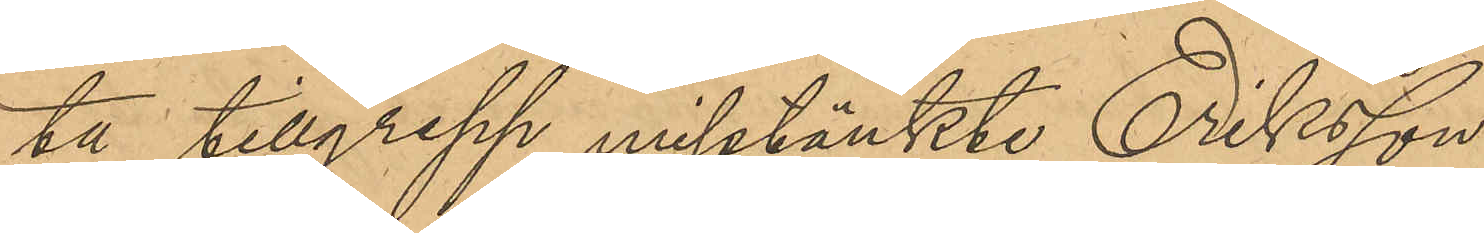ta tillgrepp misstänkte Eriksson.
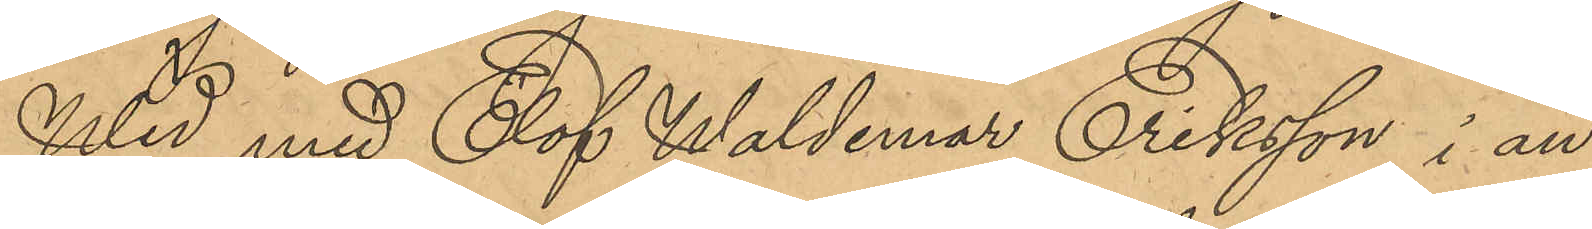Wid med Elof Waldemar Eriksson i an¬
